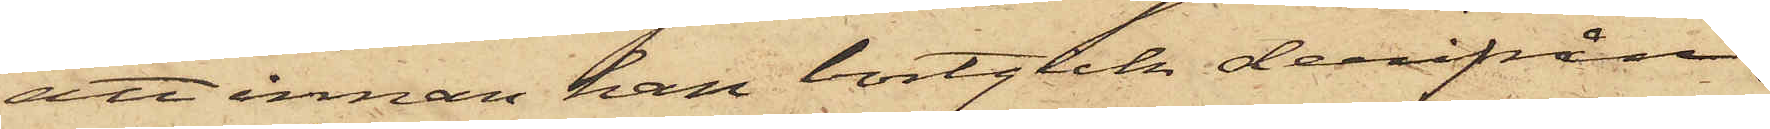att innan han bortgick derifrån,
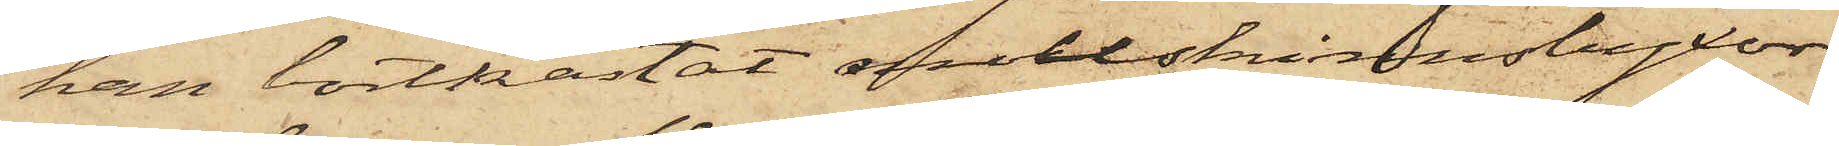han bortkastat mollskinnsbyxor¬
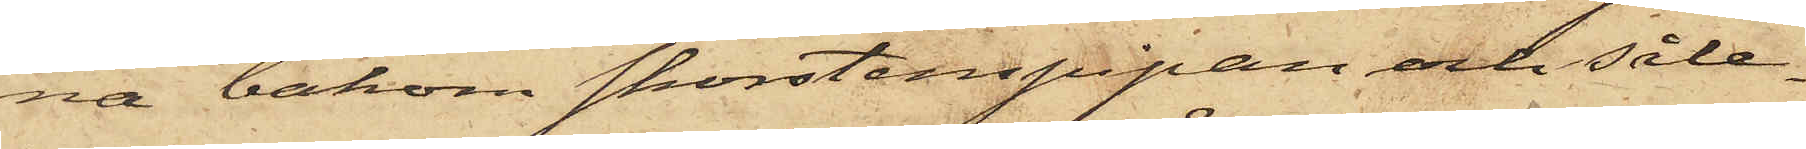na bakom skorstenspipan och såle¬
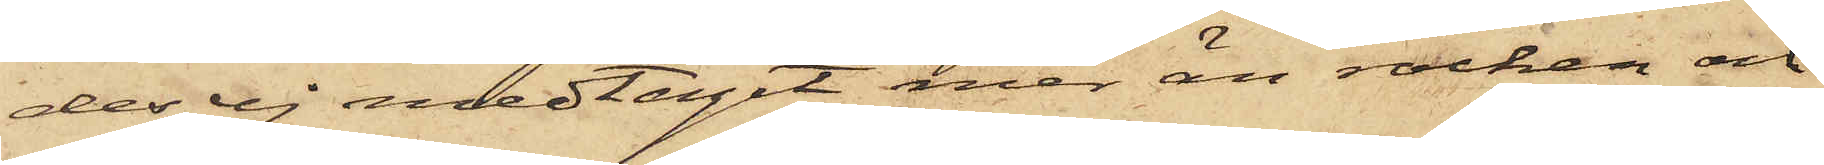des ej medtagit mer än rocken och
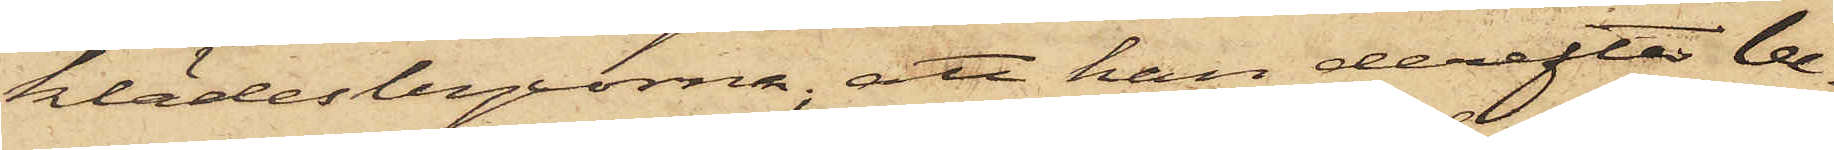klädesbyxorna, att han derefter be¬
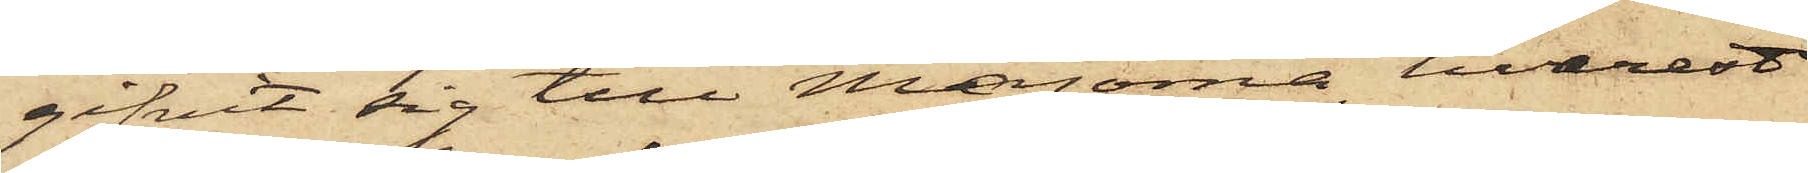gifvit sig till Majorna, hvarest
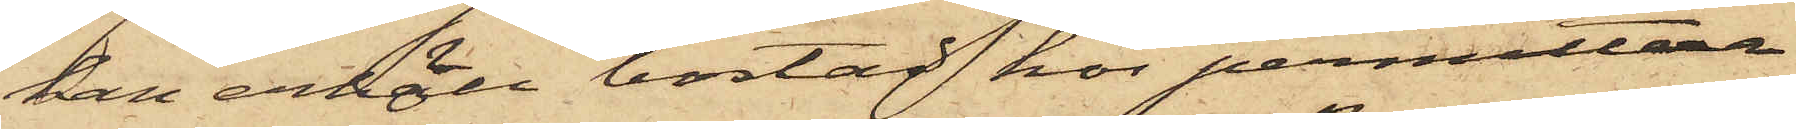han erhöll bostad hos permittera¬
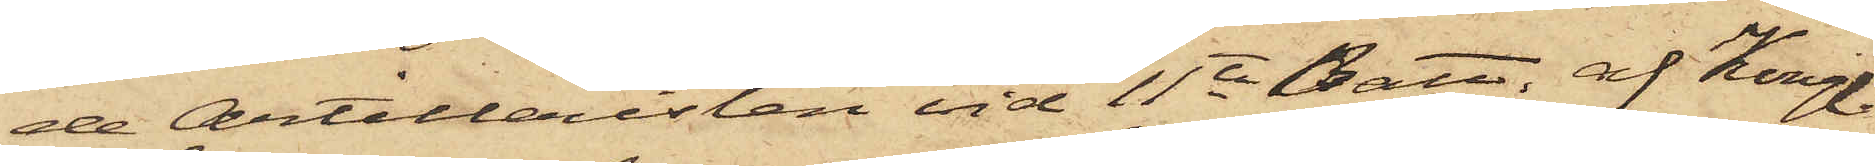de Artilleristen vid 11te Batt. af Kongl.
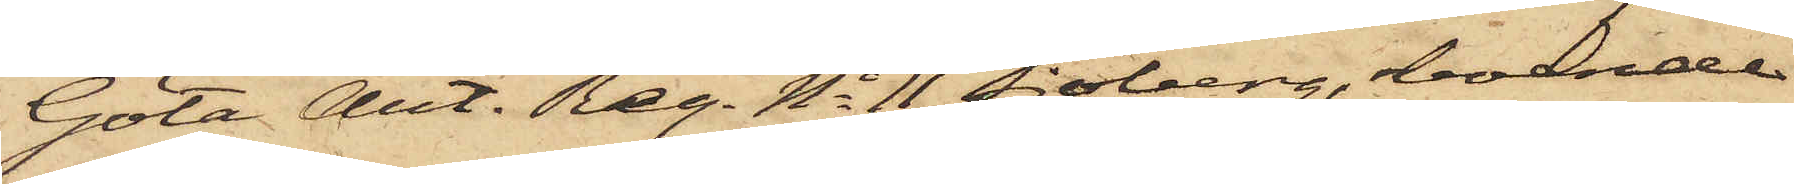Göta Art. Reg. No 11 Sjöberg, boende
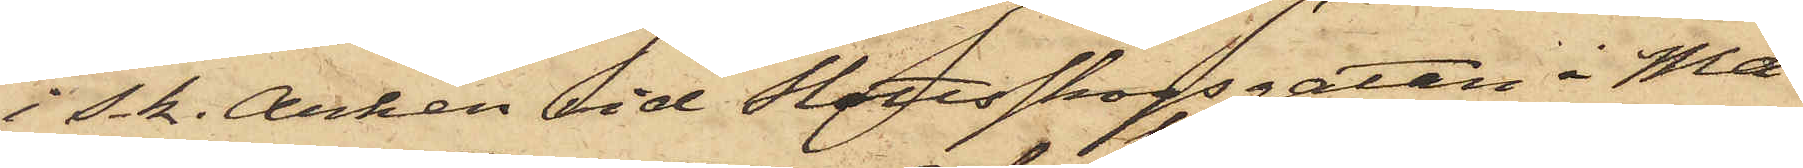i s.k. Arken vid Slottsskogsgatan i Ma¬
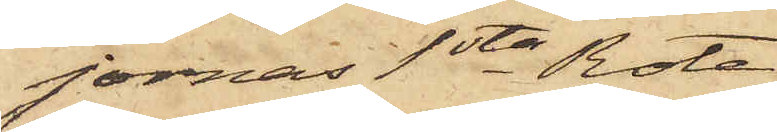jornas 1sta Rote
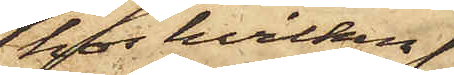hos hvilken
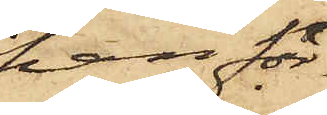han för¬
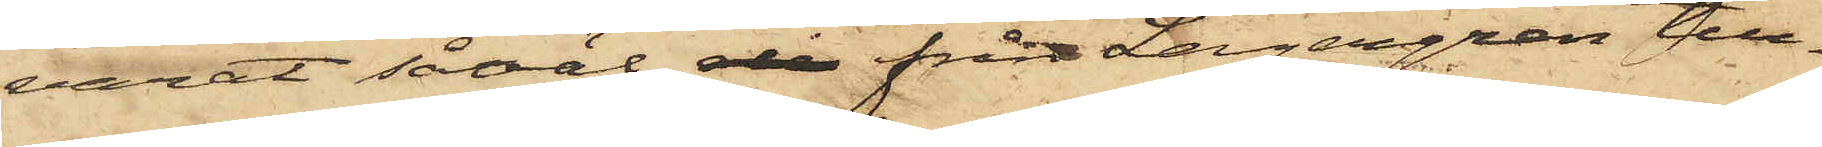varat såväl de från Lagergren till¬
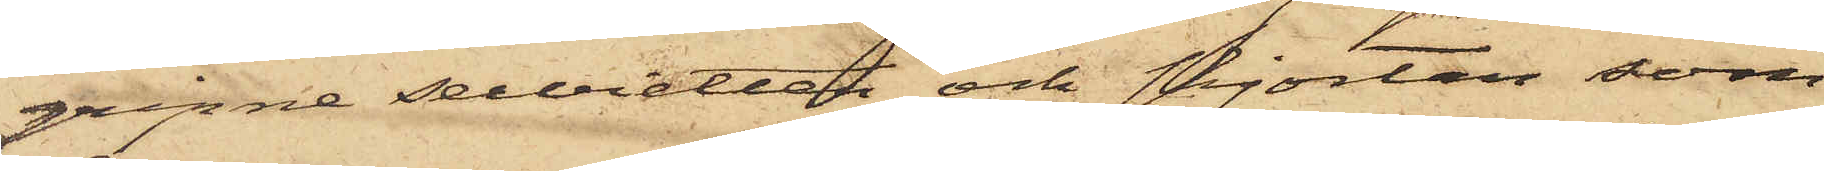gripne servietten och skjortan som
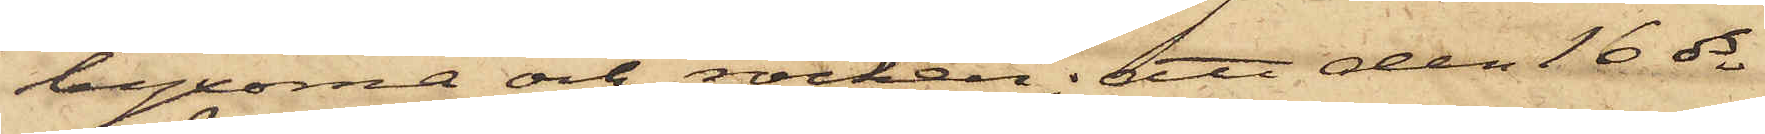byxorna och rocken; att den 16 ds
